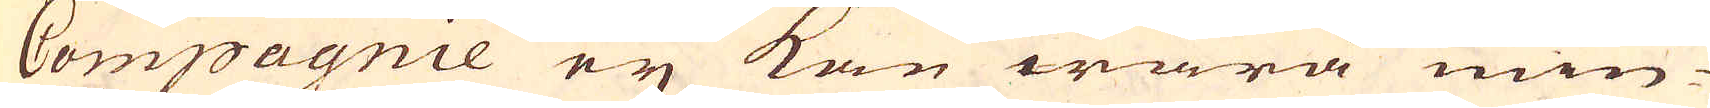Compagnie ey kan wara min-
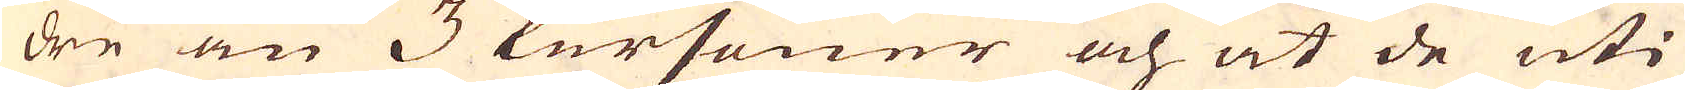dre än 3 Personer och at de uti
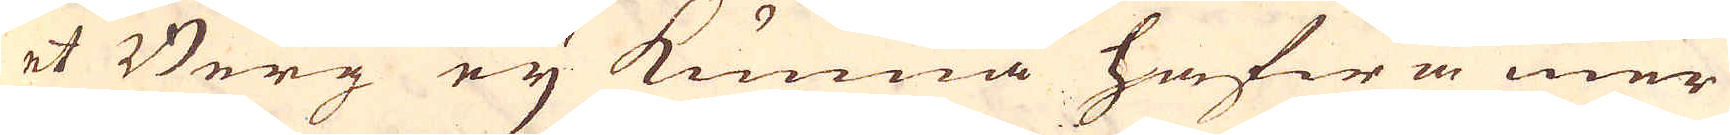et Berg ey kunna hafwa mer
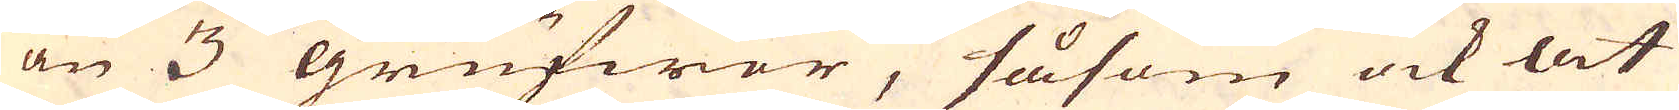än 3 grufwor, såsom ock at
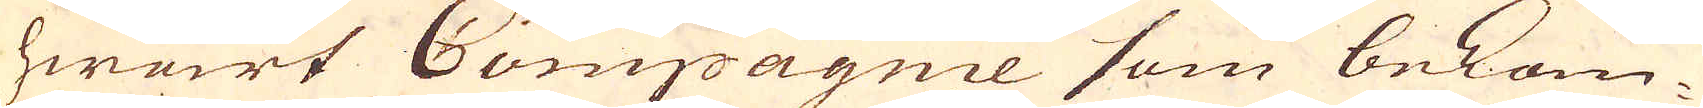hwart Compagnie som bekom-
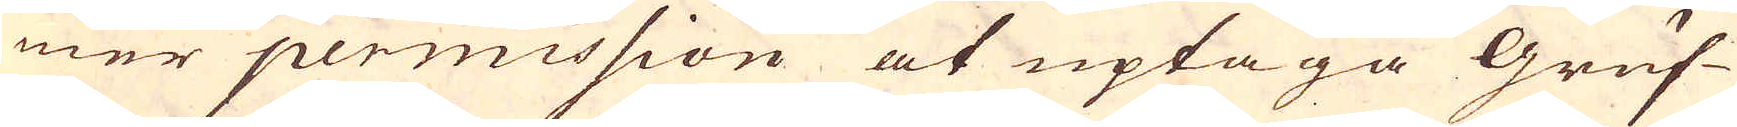mer permission at uptaga Gruf-
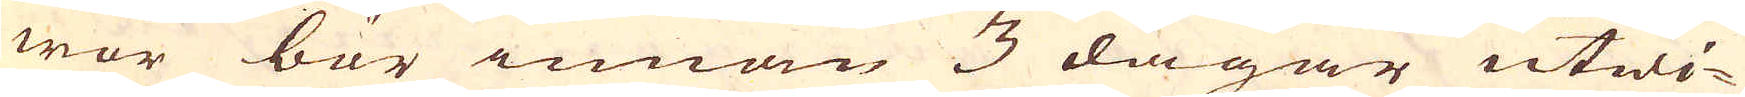wor bör innan 3 dagar utwi-
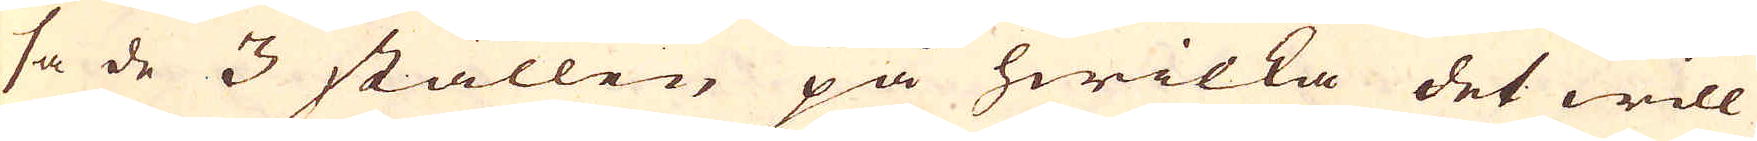sa de 3 ställen på hwilka det will
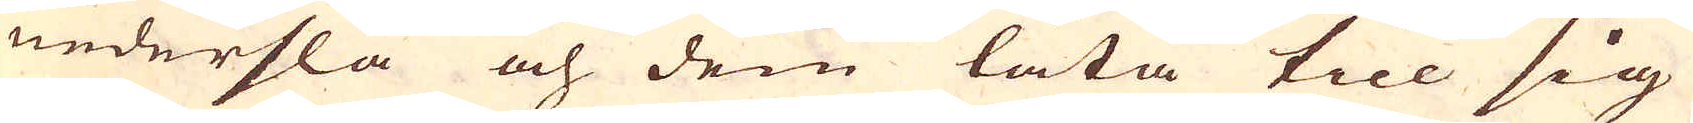nederslå och dem låta till sig
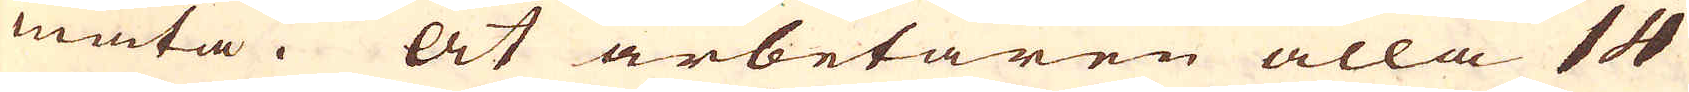mäta. At arbetaren alla 14
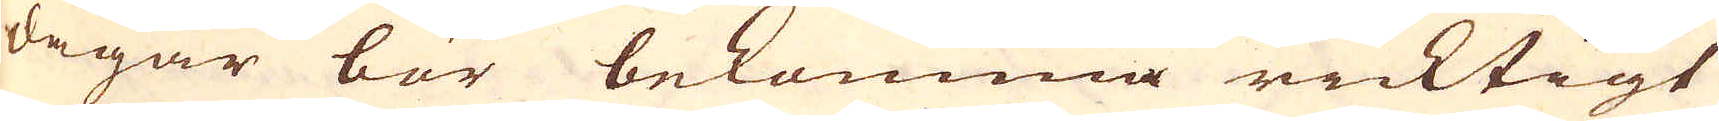dagar bör bekomma ricktigt
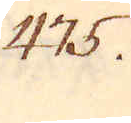475.
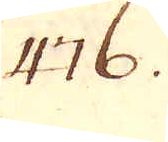476.
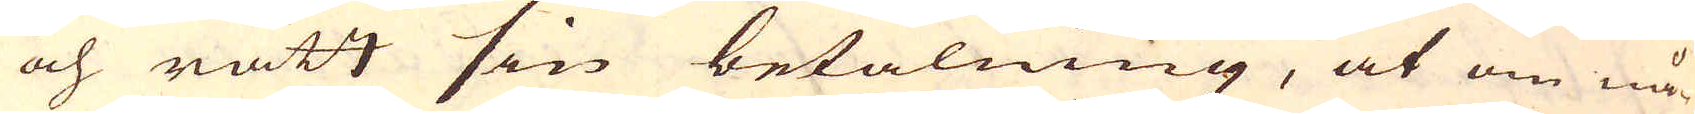och rätt sin betalning, at om nå-
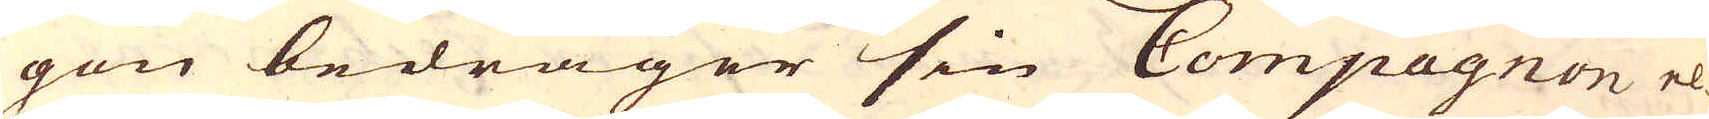gon bedrager sin Compagnon el-
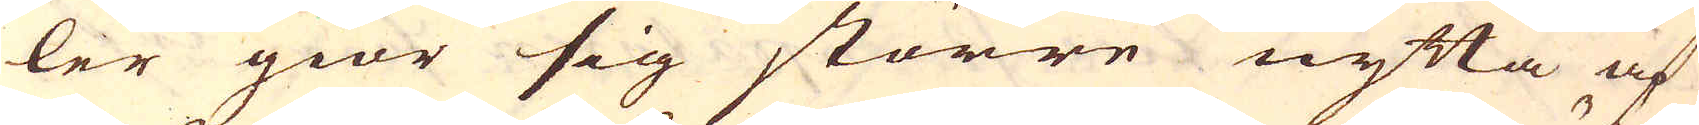ler giör sig större nytta af
